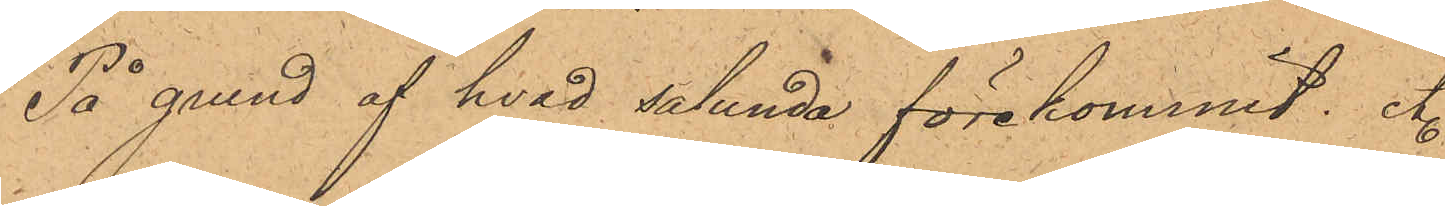På grund af hvad sålunda förekommit. etc.
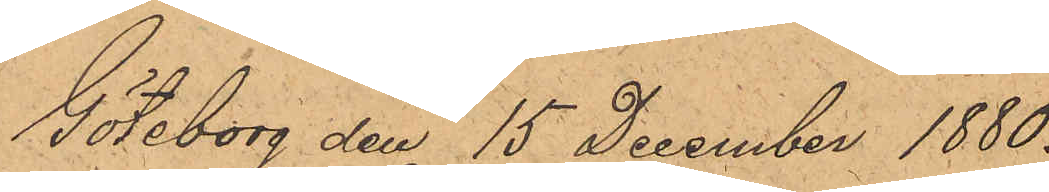Göteborg den 15 December 1880.
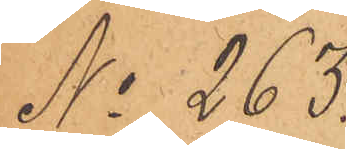No 263.
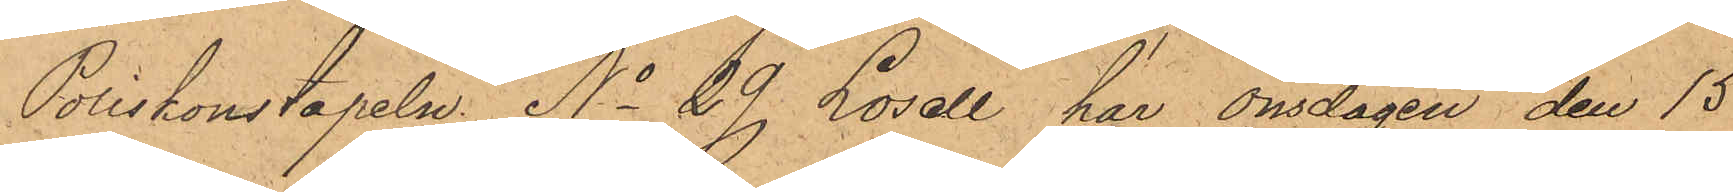Poliskonstapeln No 29 Losell, har onsdagen den 15
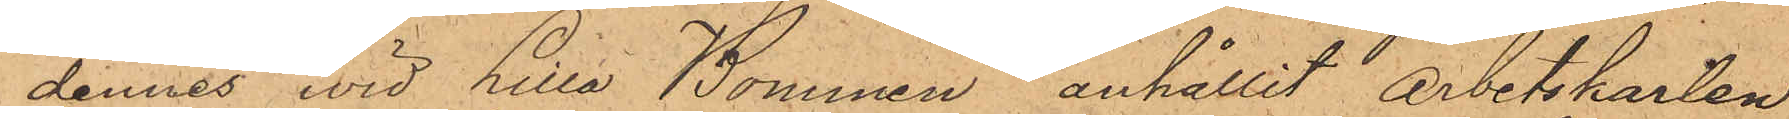dennes wid Lilla Bommen anhållit Arbetskarlen
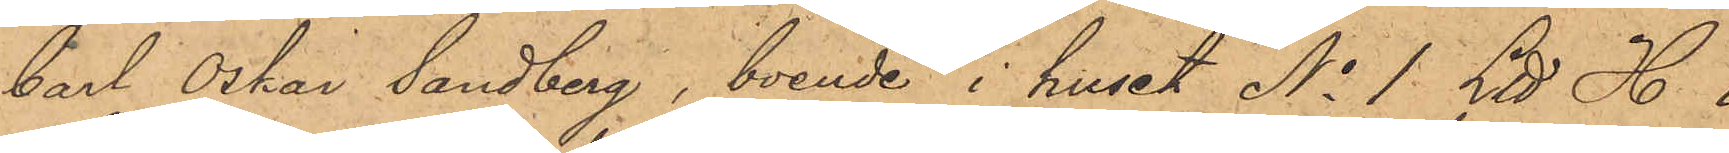Carl Oskar Sandberg, boende i huset No 1 Ltt H. i
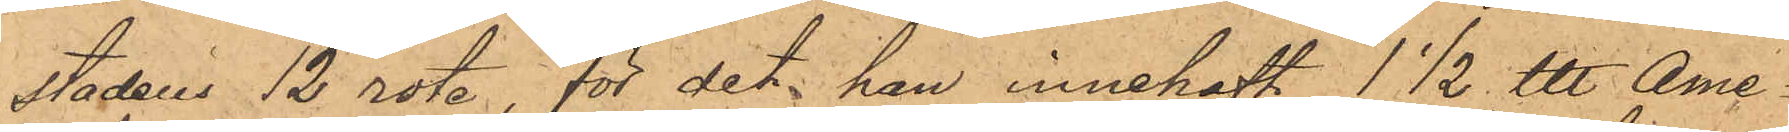stadens 12 rote för det han innehaft 1 1/2 ℔ Ame¬
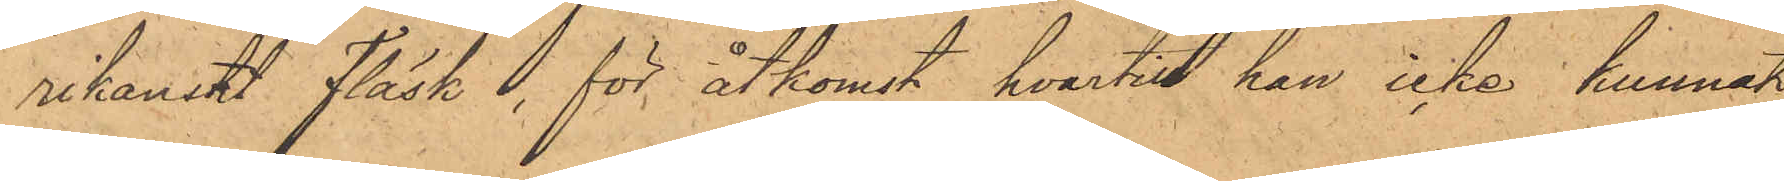rikanskt Fläsk, för åtkomst hvartill han icke kunnat
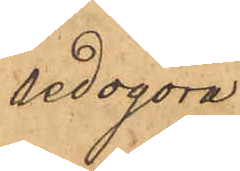redogöra.
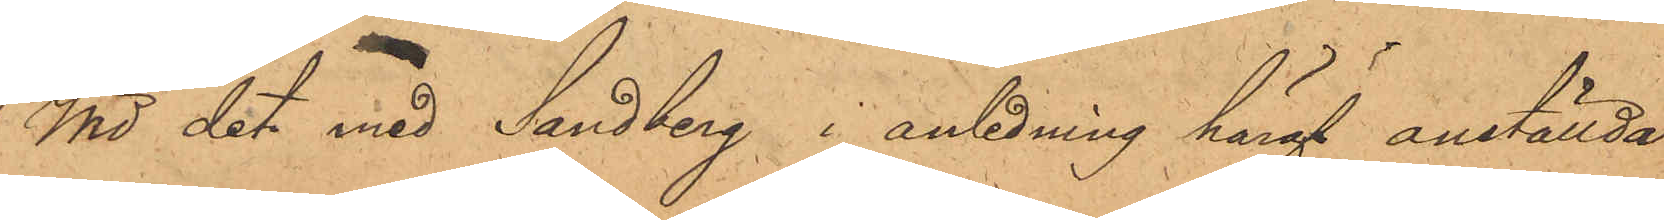Wid det med Sandberg i anledning häraf anställda
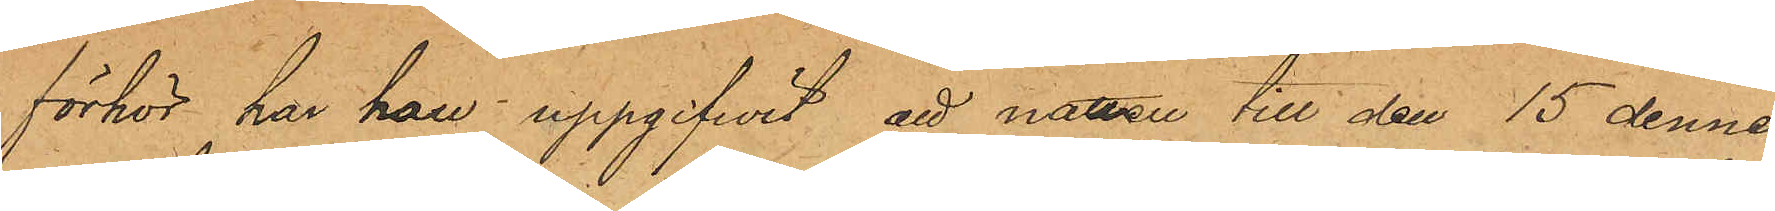förhör har han uppgifvit att natten till den 15 dennes
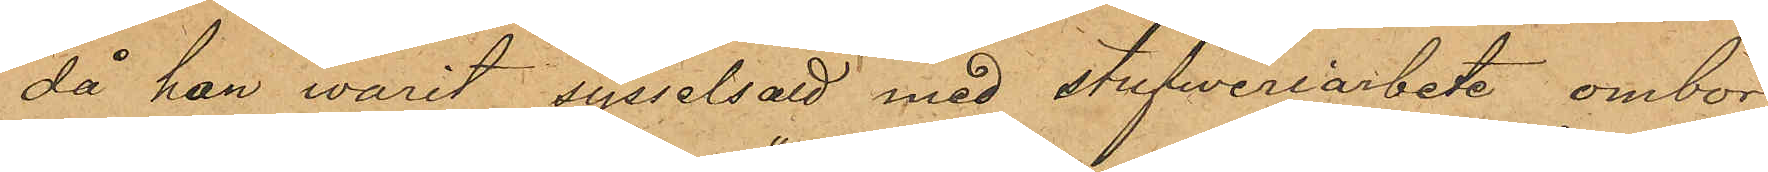då han varit sysselsatt med stufweriarbete ombord
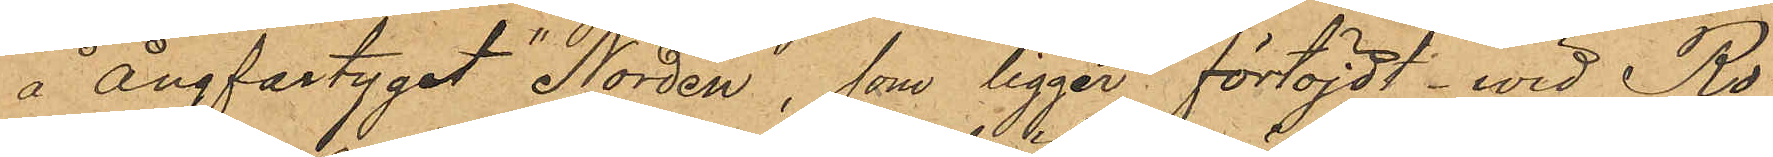å ångfartyget "Norden", som ligger förtöjdt wid Ro¬
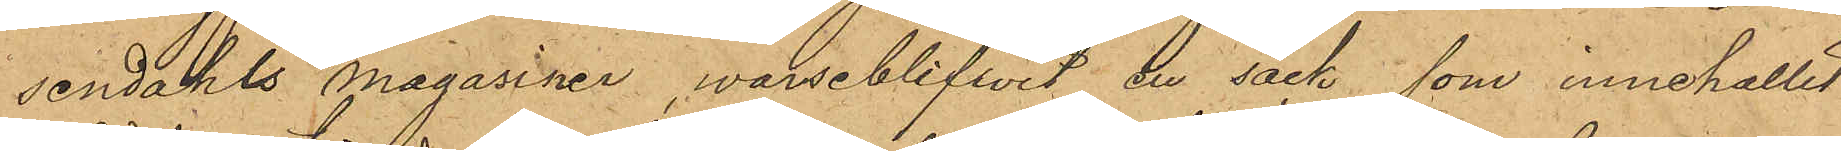sendahls Magasiner, warseblifvit en säck, som innehållit
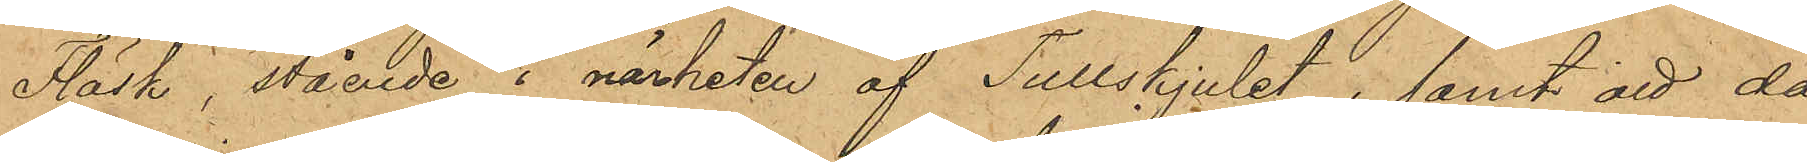Fläsk, stående i närheten af Tullskjulet, samt att då
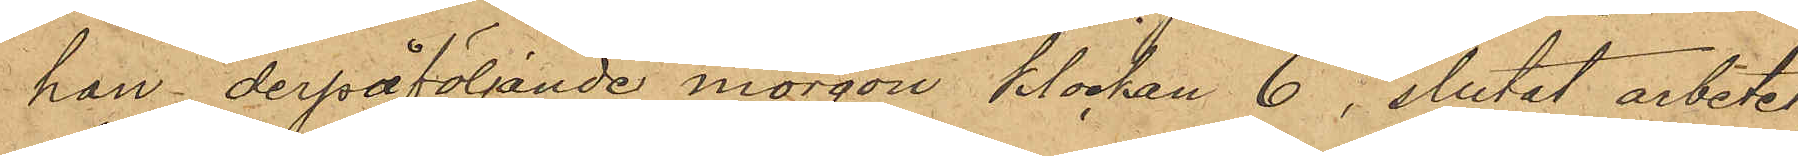han derpåföljande morgon klockan 6, slutat arbetet,
